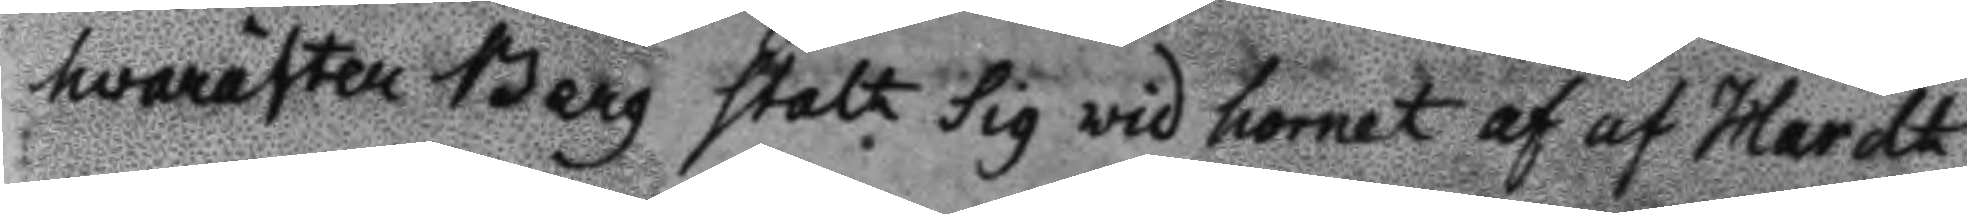hvarefter Berg stalt sig wid hornet af af Hardt¬
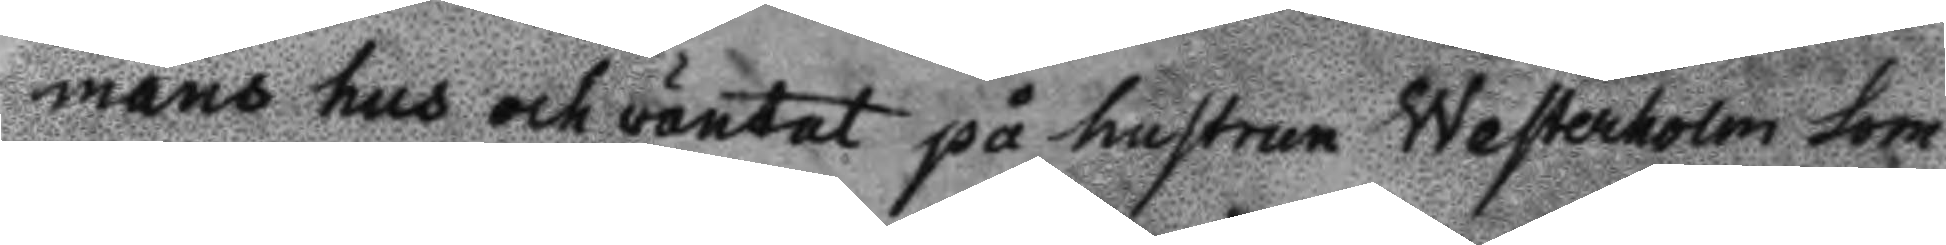mans hus och väntat på hustrun Westerholm som
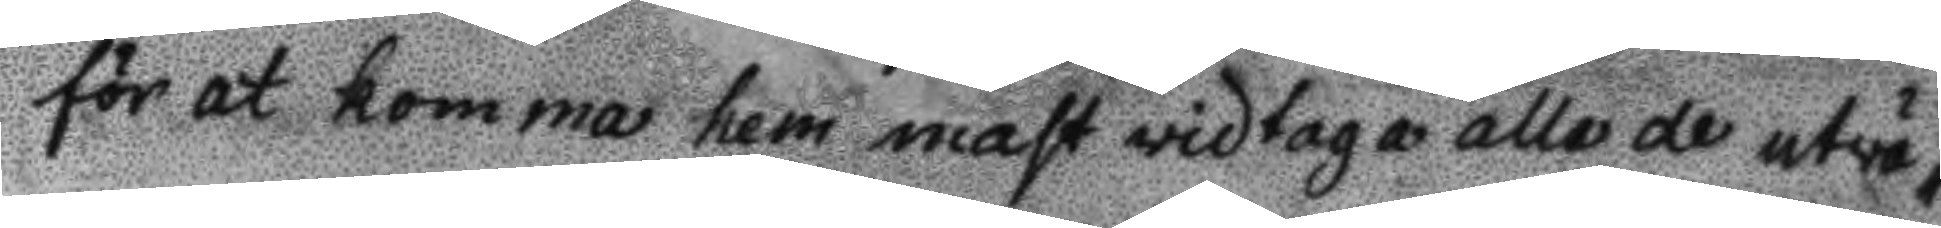för at komma hem mast widtaga alle de utvä¬
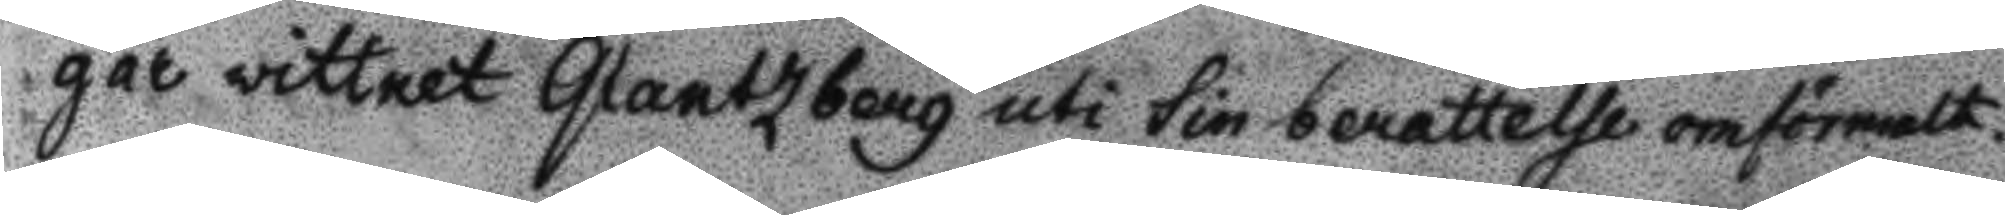gar wittnet Glantzberg uti sin berettelse omförmalt.
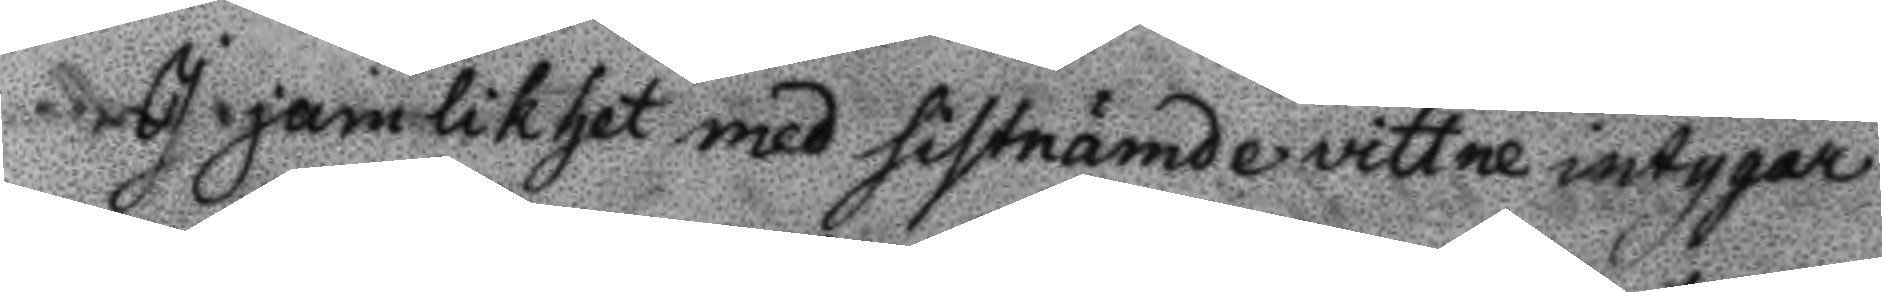I jamlikhet med sistnämde vittne intygar
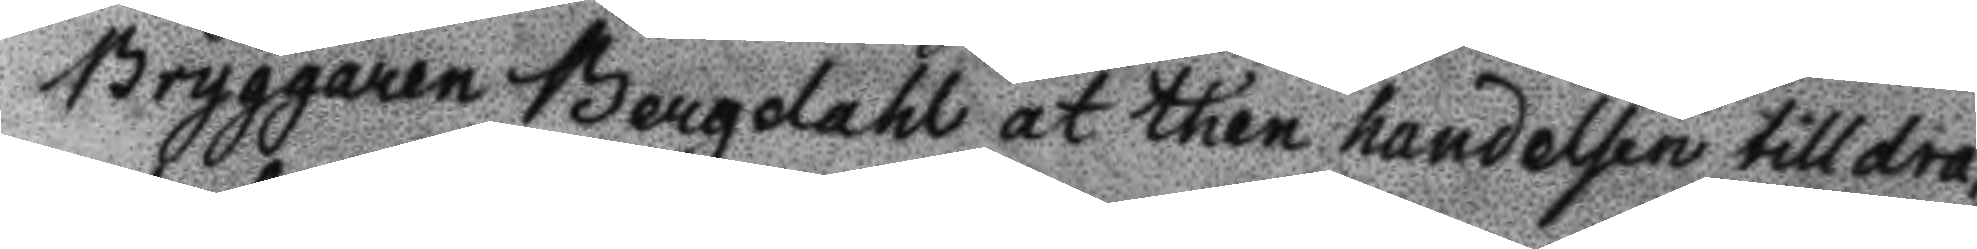Bryggaren Bergdahl at then handelsen tilldra¬
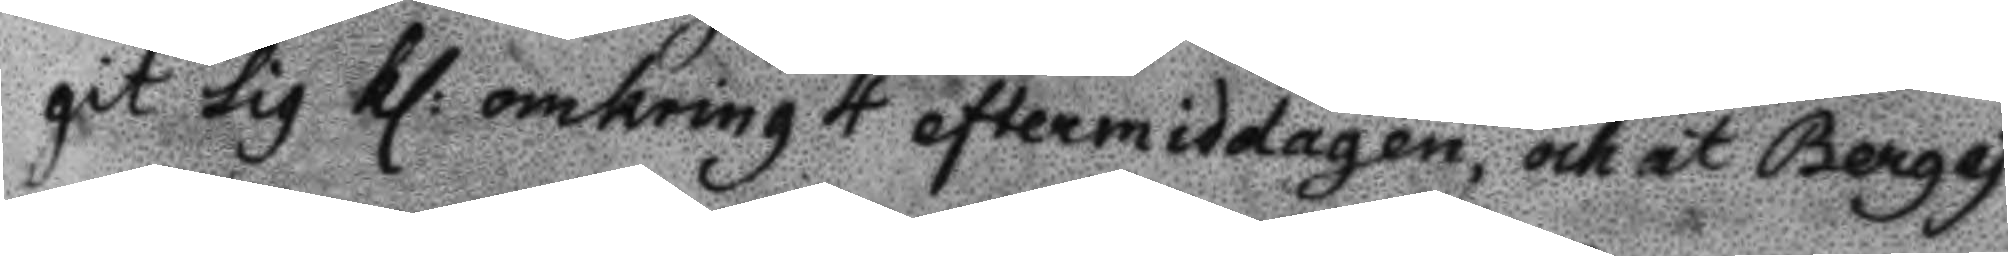git sig kl: omkring 4 eftermiddagen, och at Berg ej
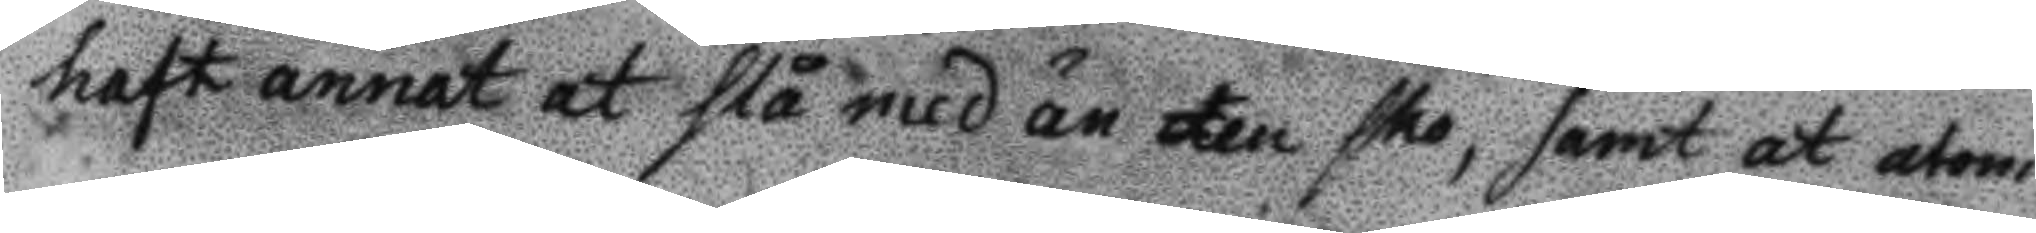haft annat at slå med än en sko, samt at utom
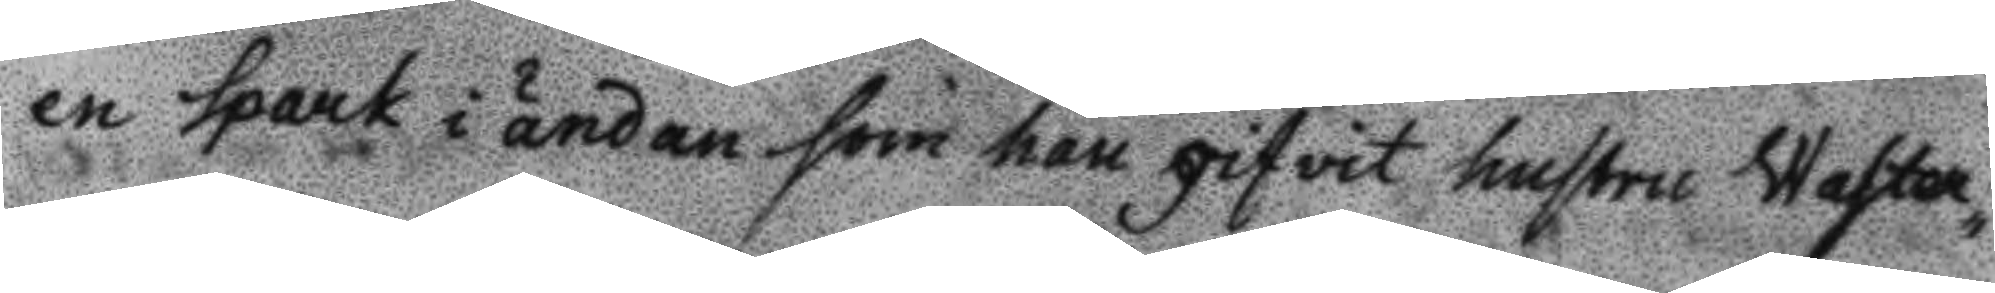en spark i ändan som han gifvit histri Waster¬
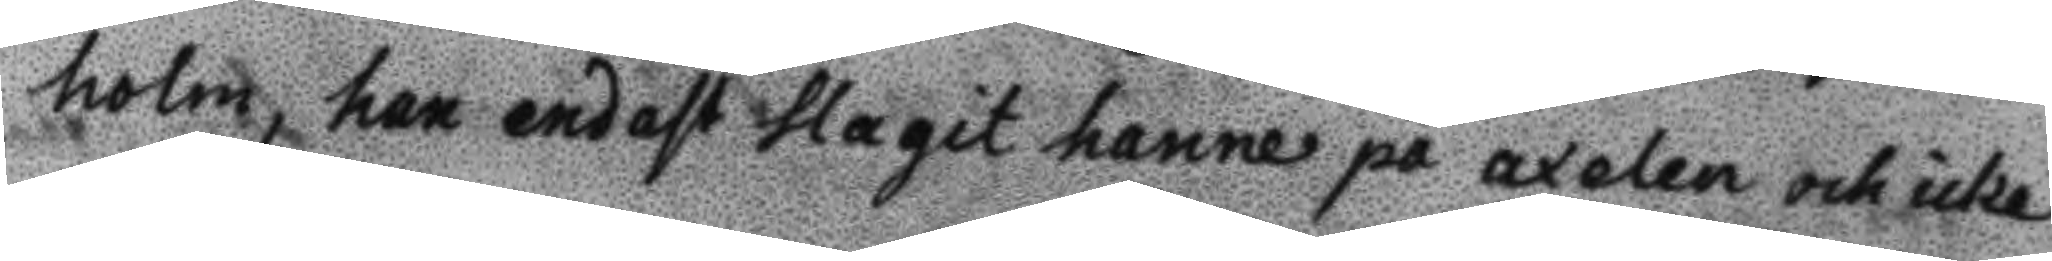holm, han endast slagit henne på axelen och icke
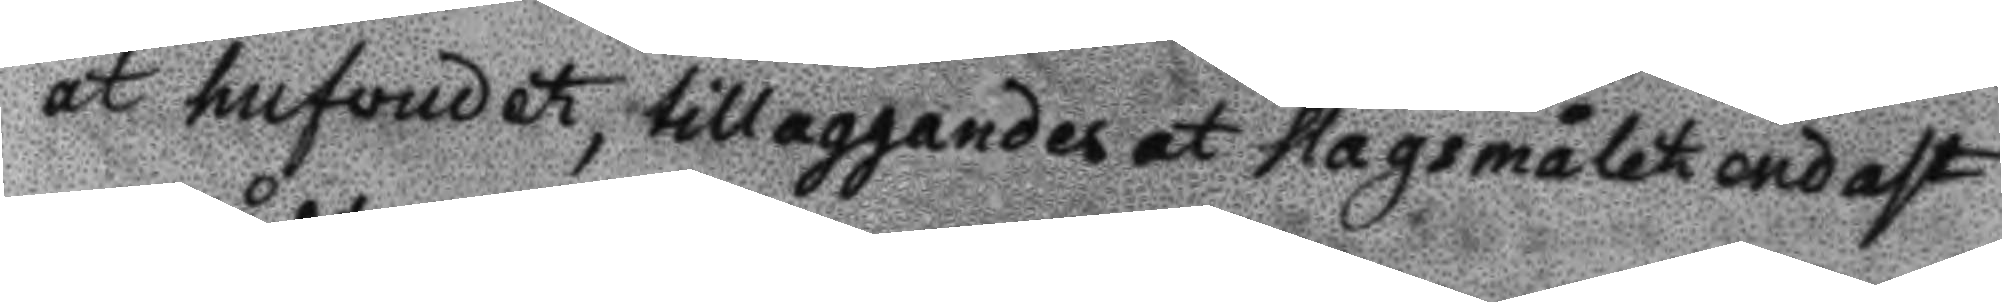åt hufvudet, tillaggandes at slagsmålet endast
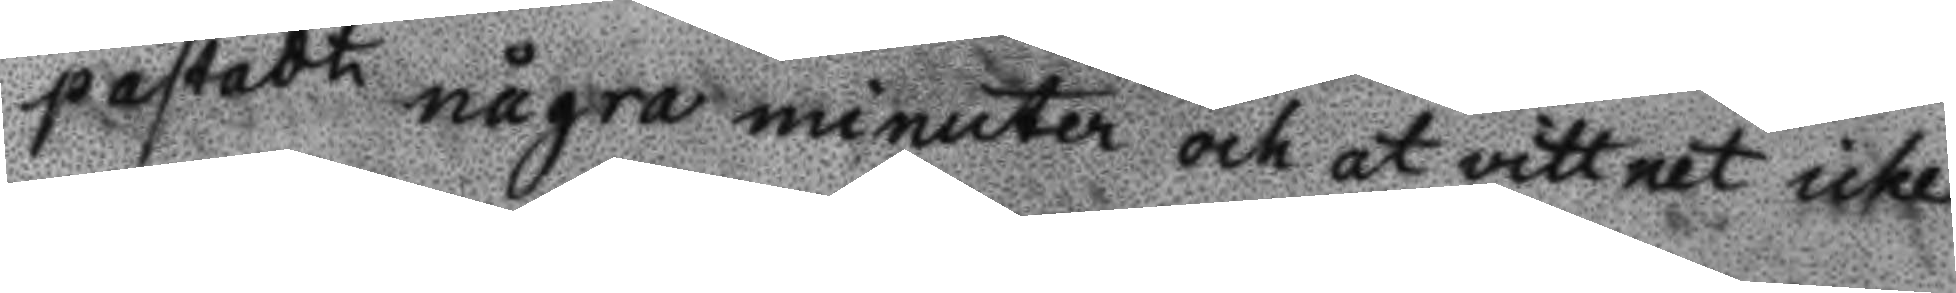pastådt några minuter och at vittnet icke
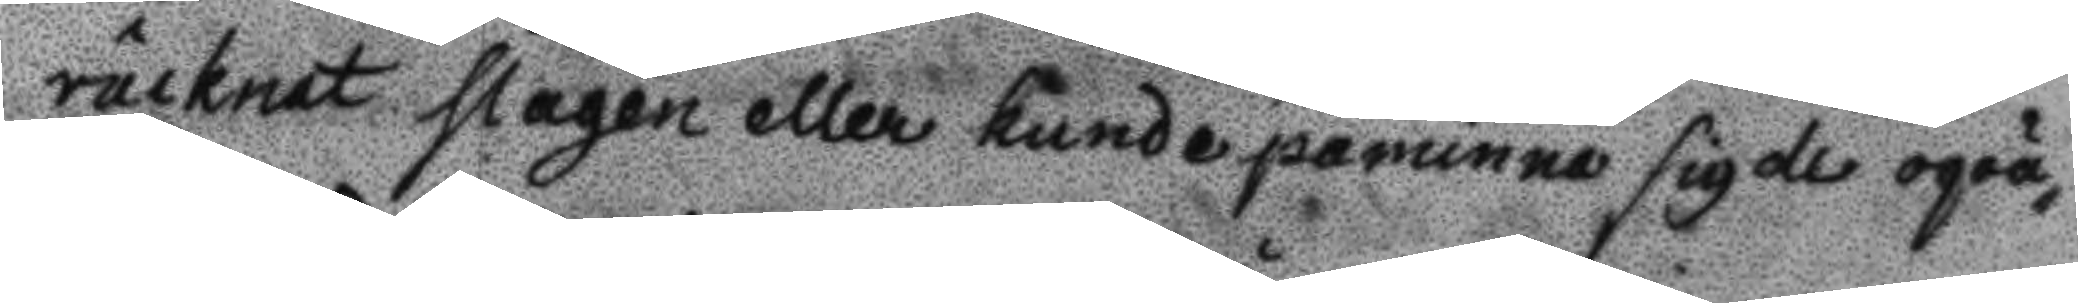räcknat slagen eller kunde påminna sig de oqvä¬
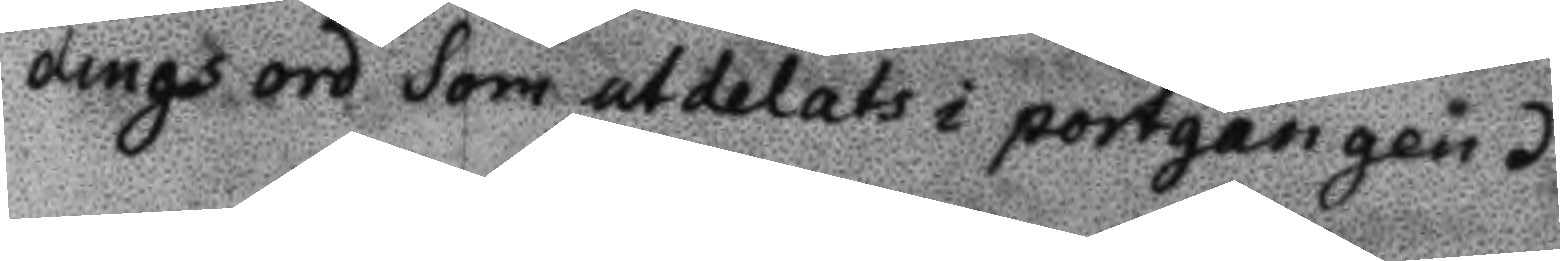dingsord som utdelats i portgången.
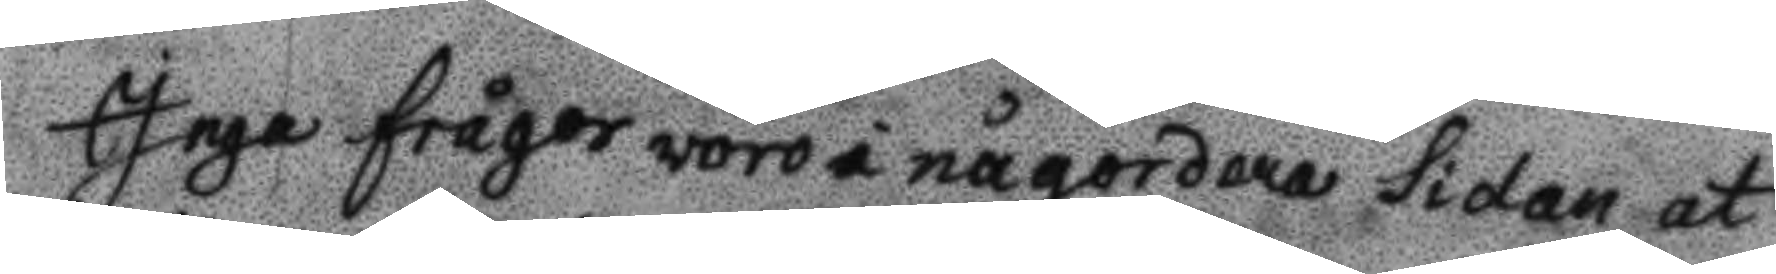Inga frågor woro i någordera sidan at
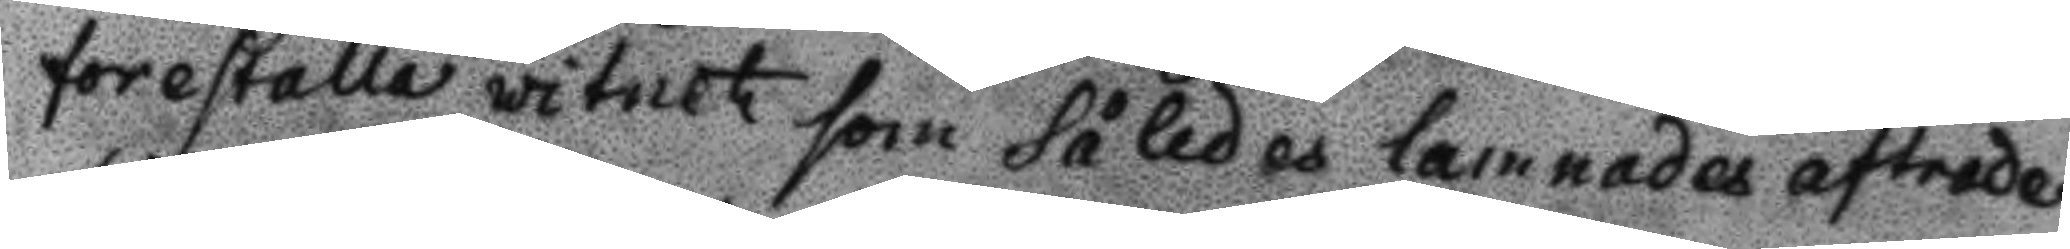forefalla witnet som således lemnades aftrade
